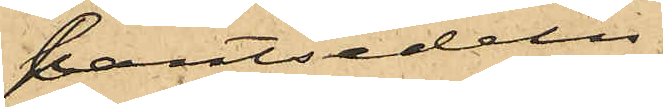pantsedeln.
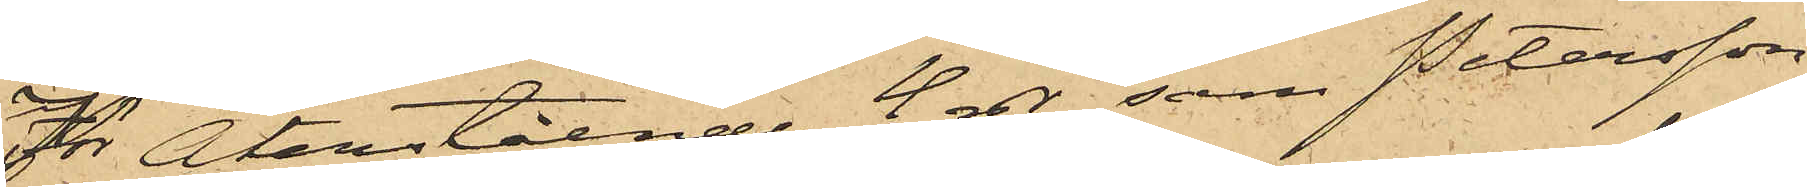För Återstående 4 rdr, som Petersson
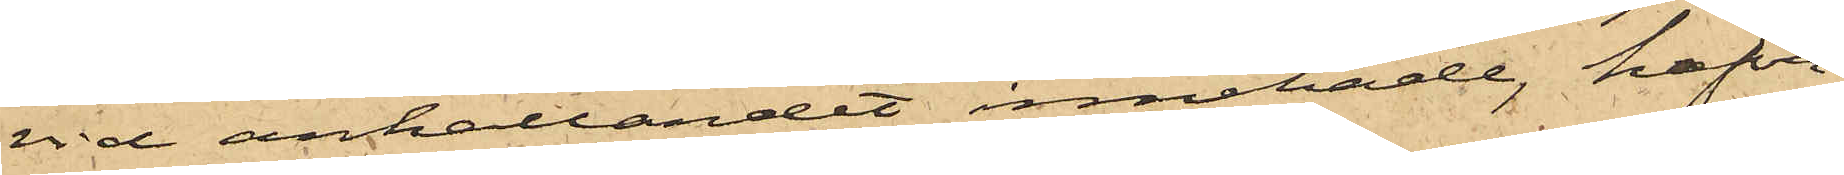vid anhållandet innehade, hafva
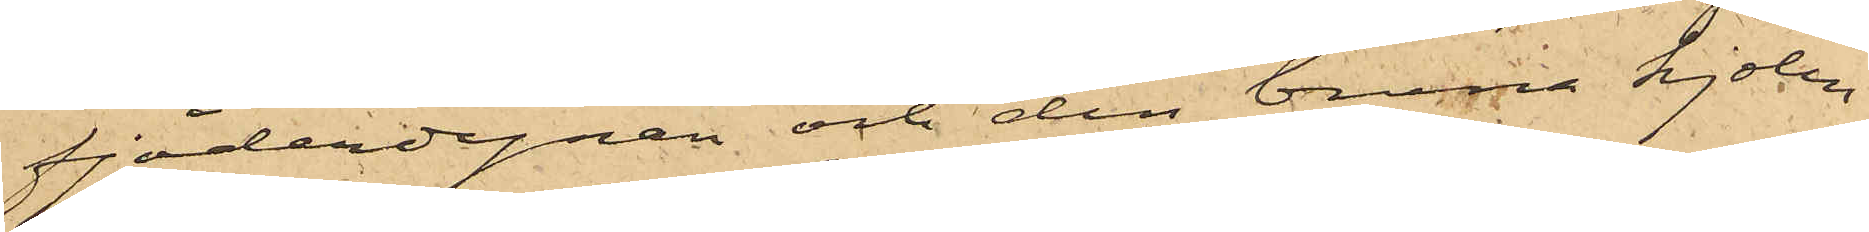fjäderdynan och den bruna kjolen
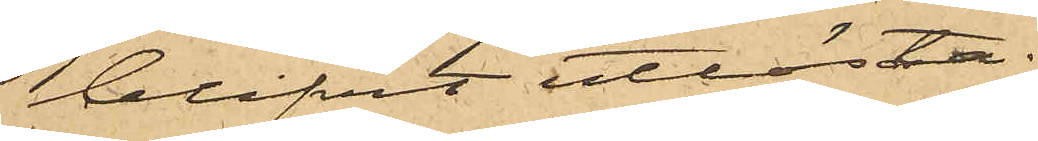blifvit utlösta.
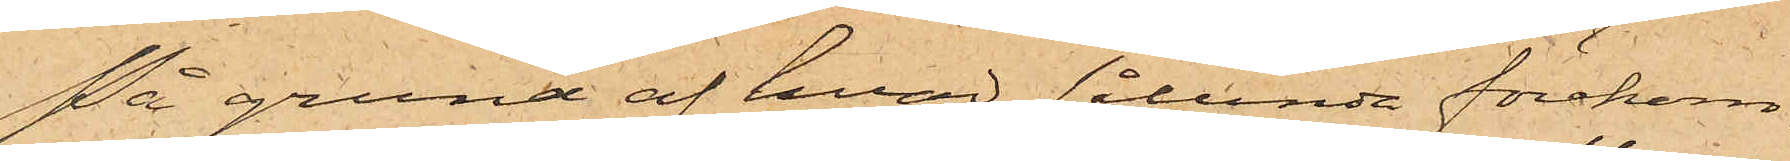På grund af hvad sålunda förekom¬
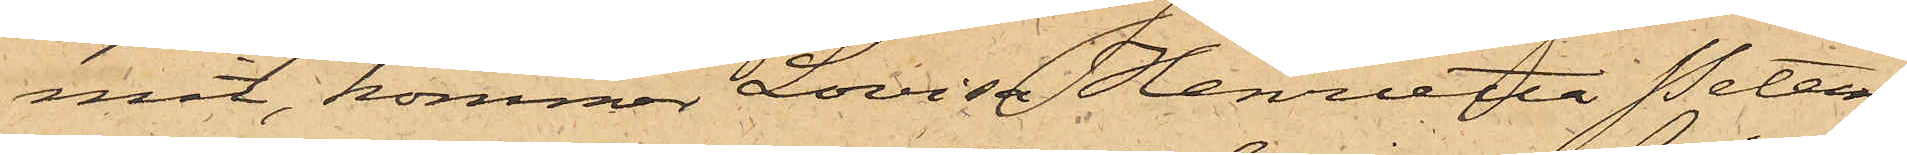mit, kommer Lovisa Henrietta Peters¬
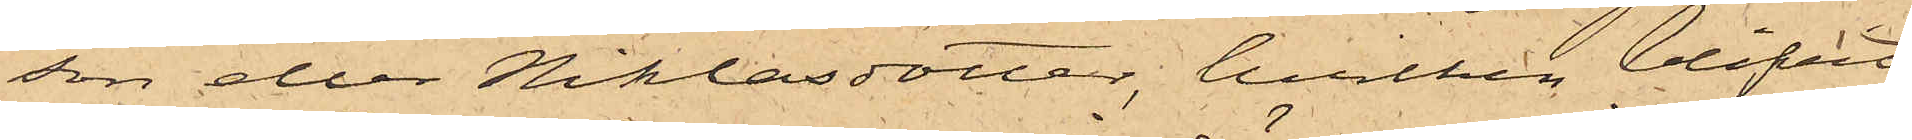son eller Niklasdotter, hvilken blifvit
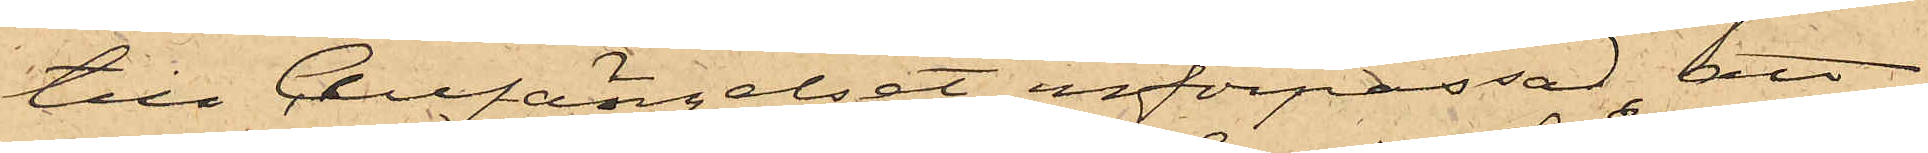till Cellfängelset införpassad, att
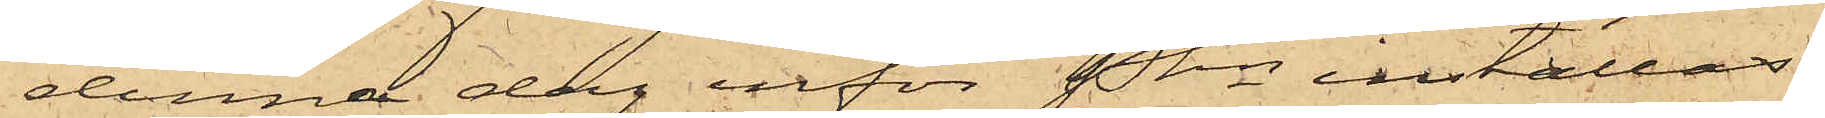denna dag inför Pkn inställas.
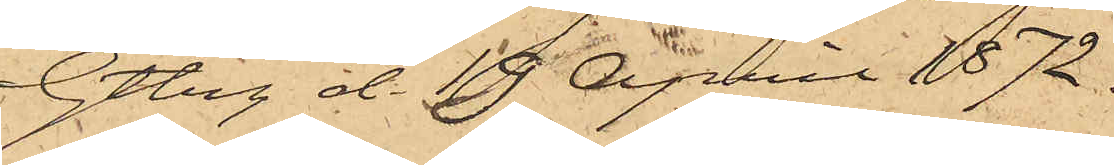Gtbg d. 19 April 1872.
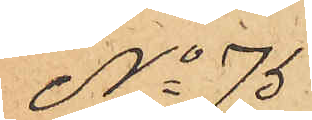No 75
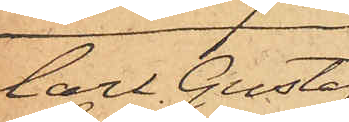Carl Gustaf
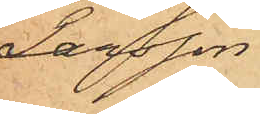Larsson.
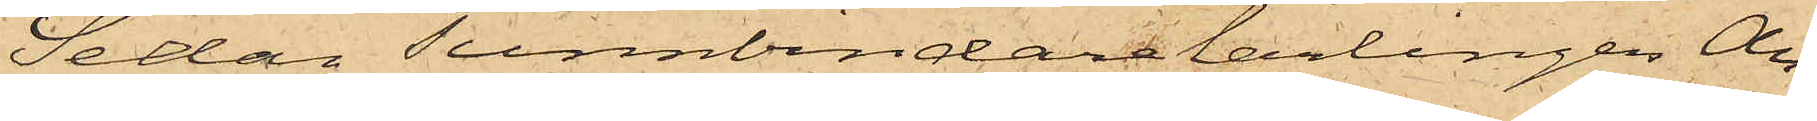Sedan Tunnbindarelärlingen An¬
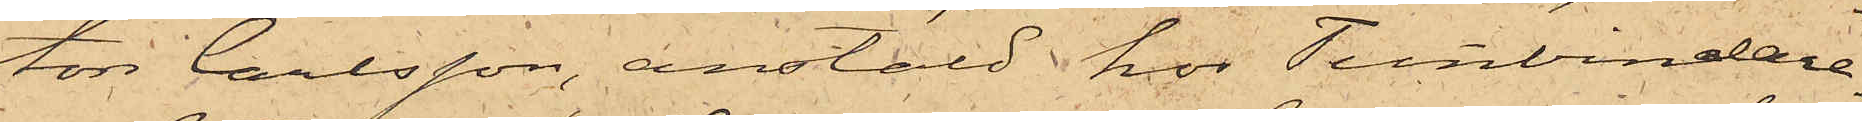ton Carlsson, anstäld hos Tunnbindare¬
